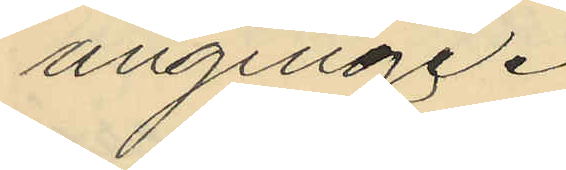anginge.
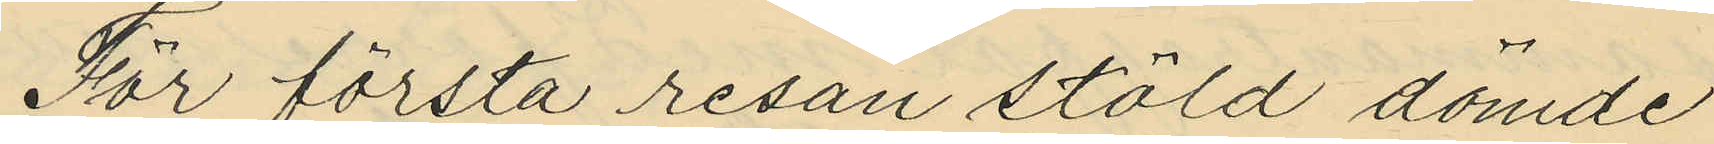För första resan stöld dömde
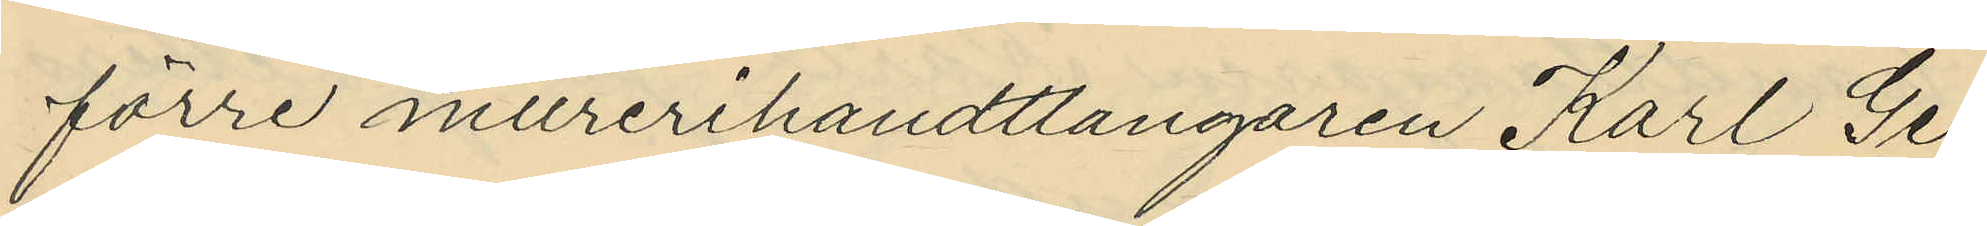förre murerihandtlangaren Karl Ge¬
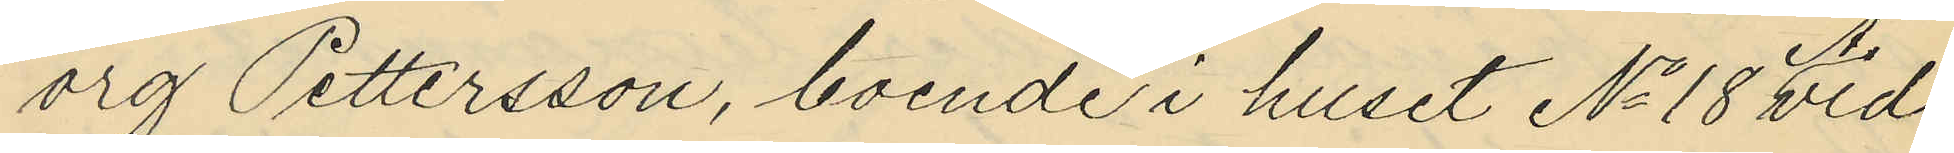org Pettersson, boende i huset No 18 Vid
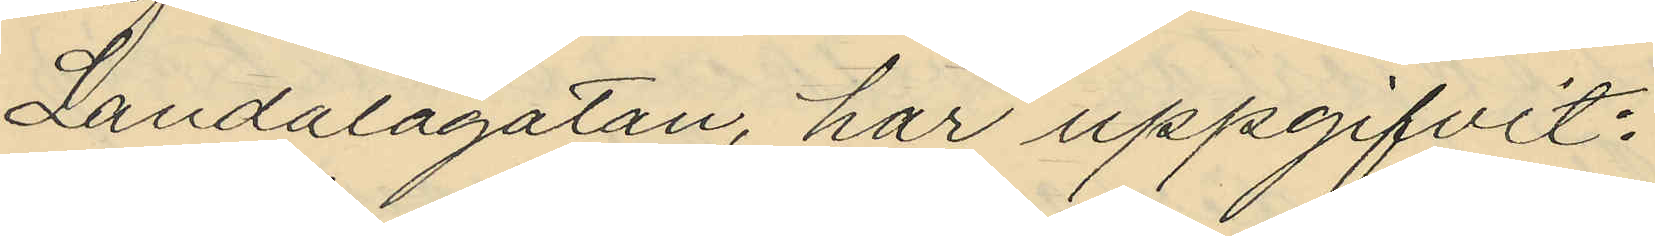Landalagatan, har uppgifvit:
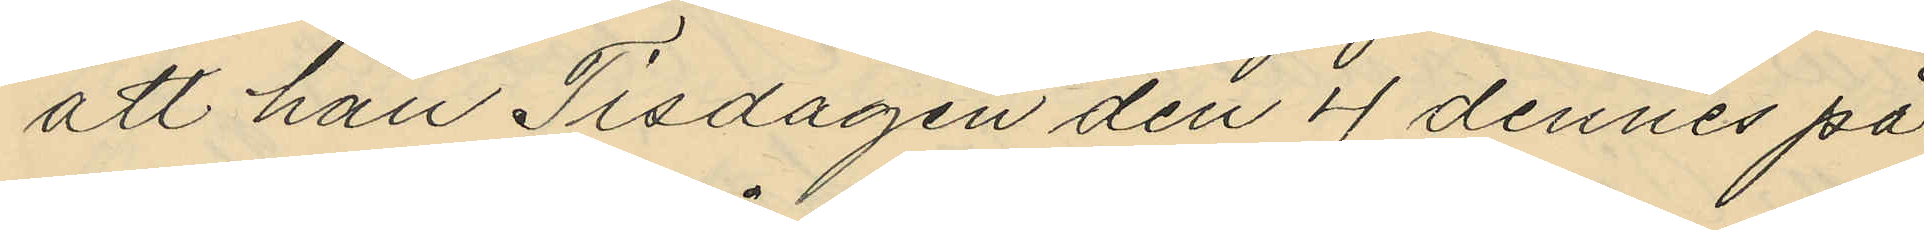att han Tisdagen den 4 dennes på
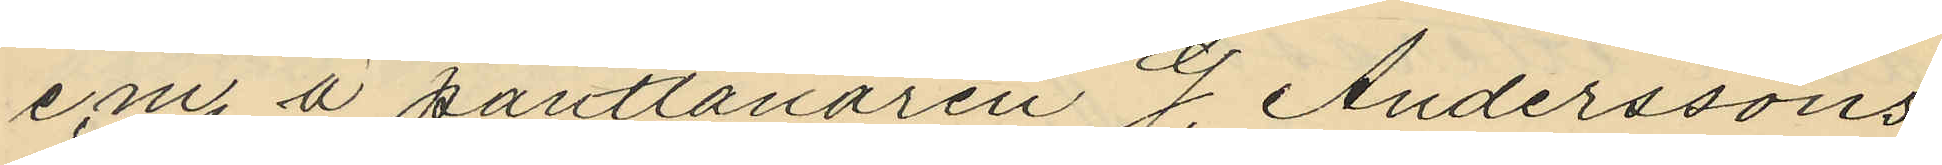e.m. å pantlånaren G. Anderssons
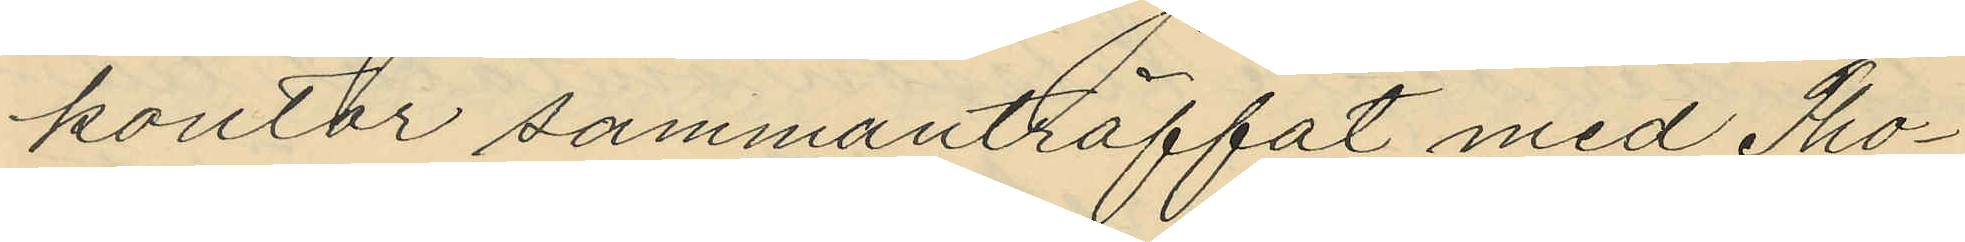kontor sammanträffat med Tho¬
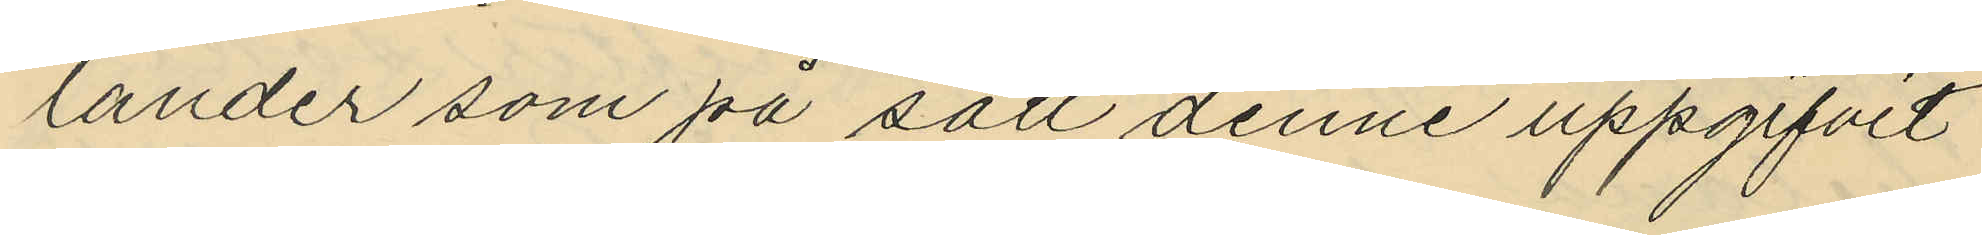lander som på sätt denne uppgifvit
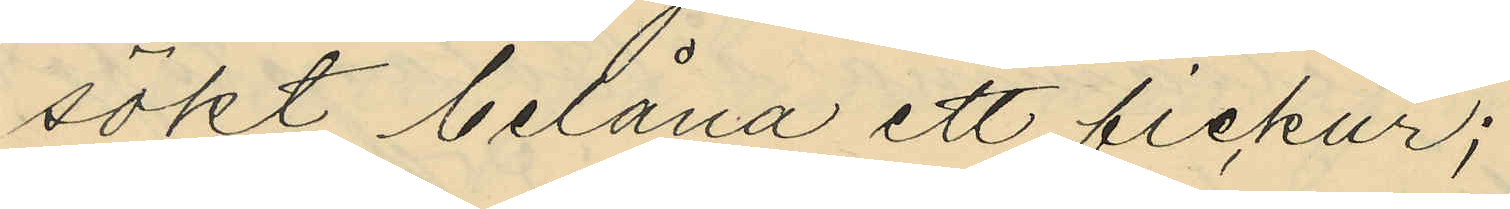sökt belåna ett fickur;
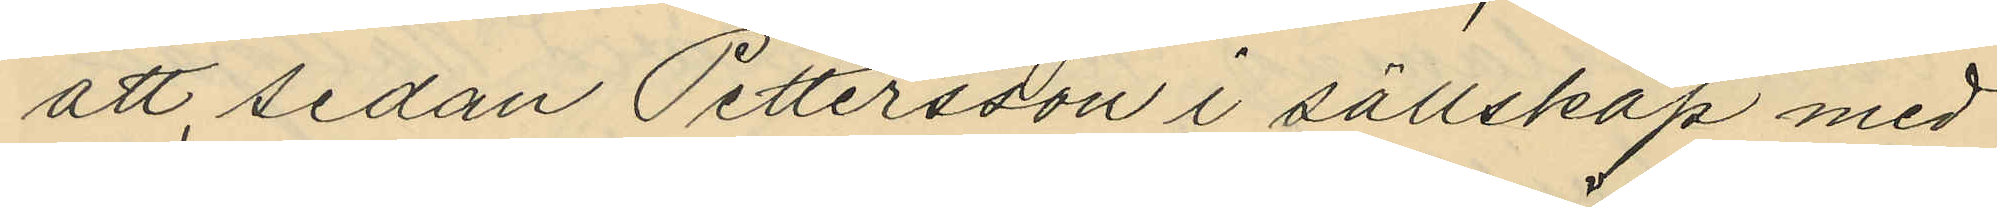att sedan Pettersson i sällskap med
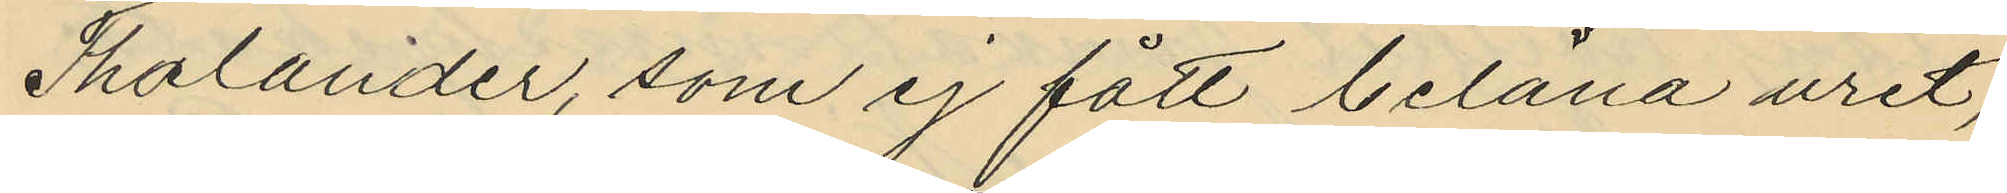Thalander, som ej fått belåna uret,
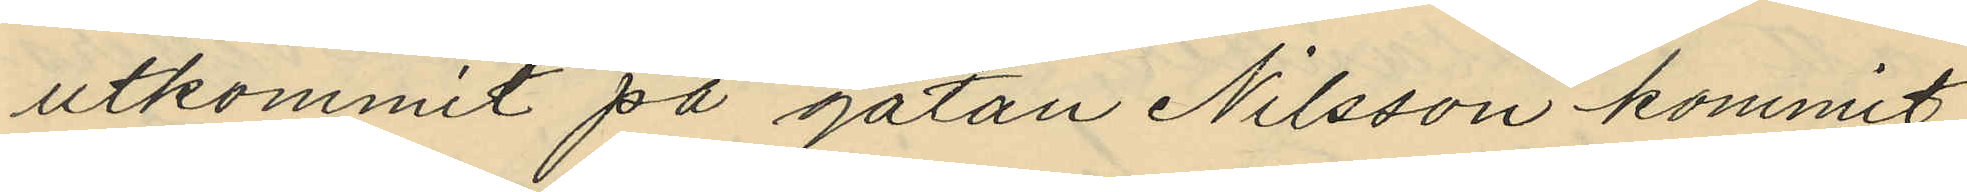utkommit på gatan Nilsson kommit
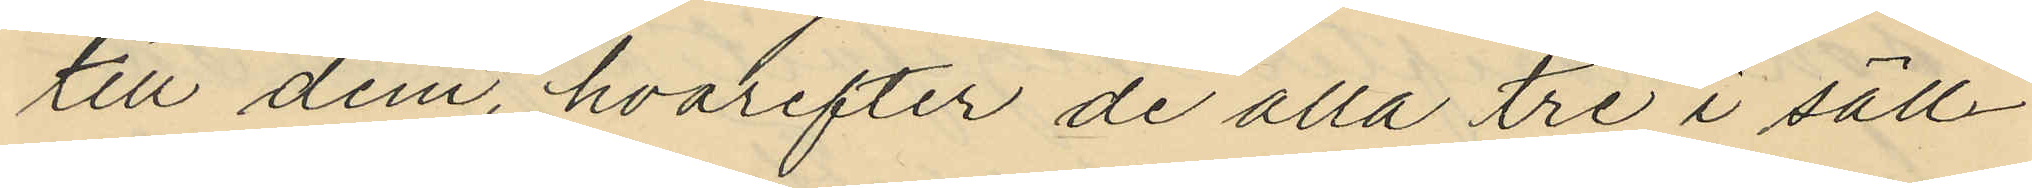till dem, hvarefter de alla tre i säll¬
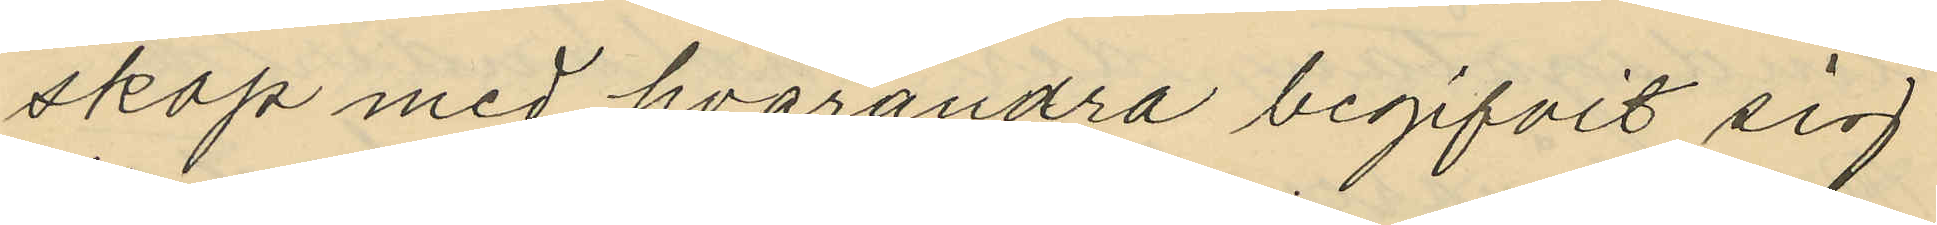skap med hvarandra begifvit sig
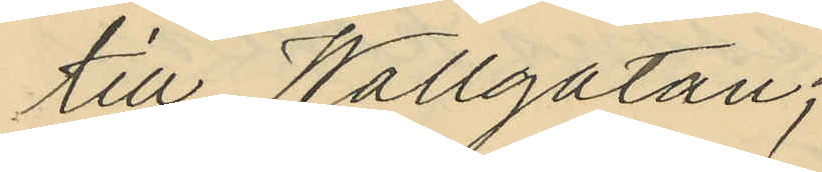till Wallgatan;
